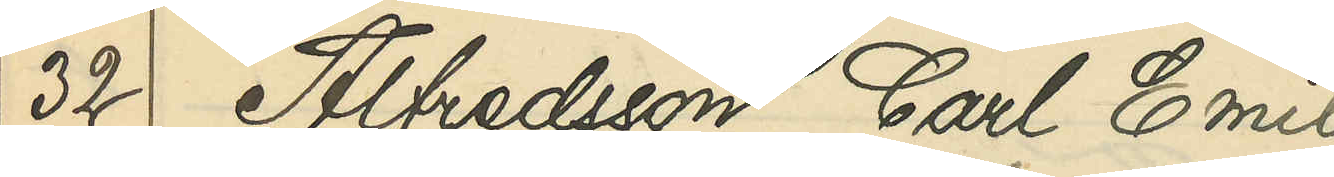32 Alfredsson, Carl Emil
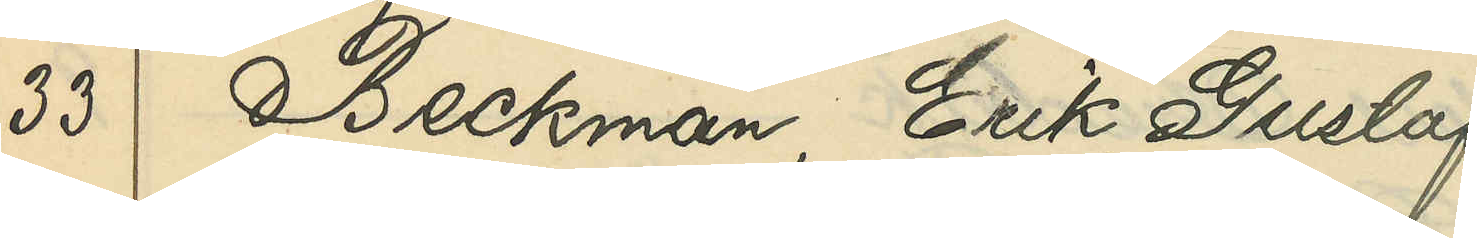33 Beckman, Erik Gustaf
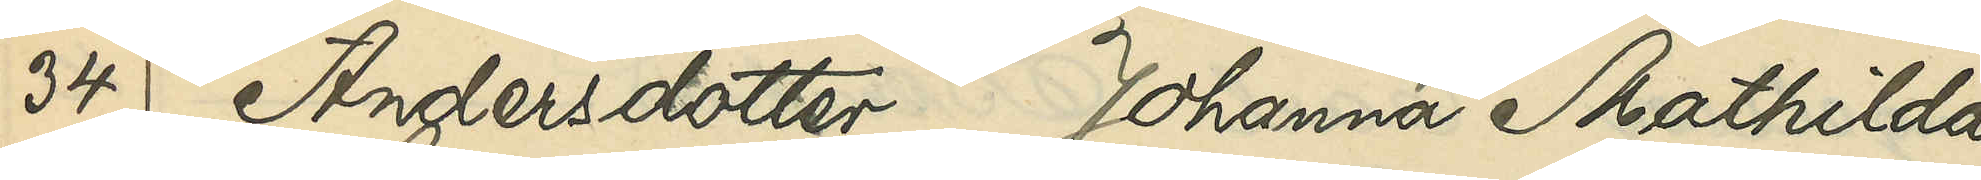34 Andersdotter Johanna Mathilda
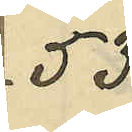53
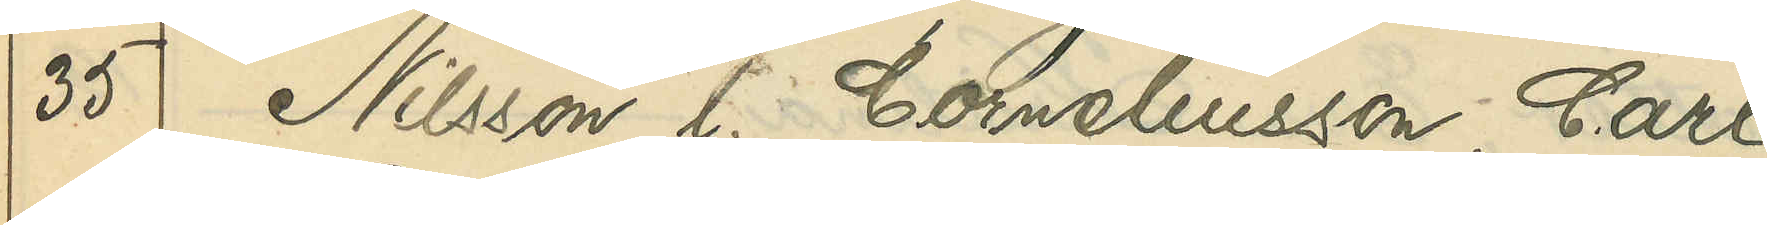35 Nilsson l. Corneliusson, Carl
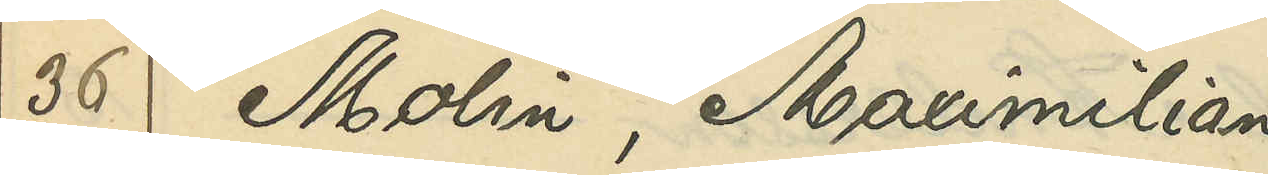36 Molin, Maximilian
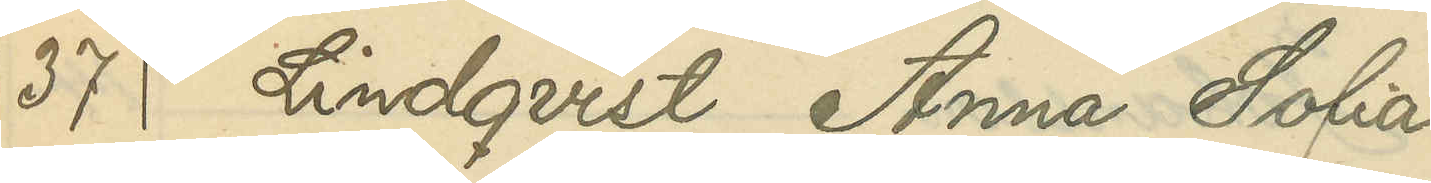37 Lindqvist, Anna Sofia
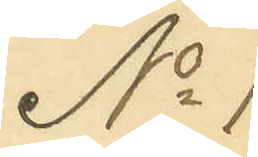No 1
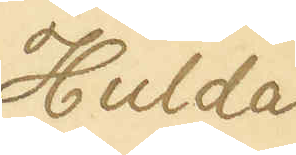Hulda
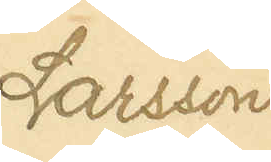Larsson
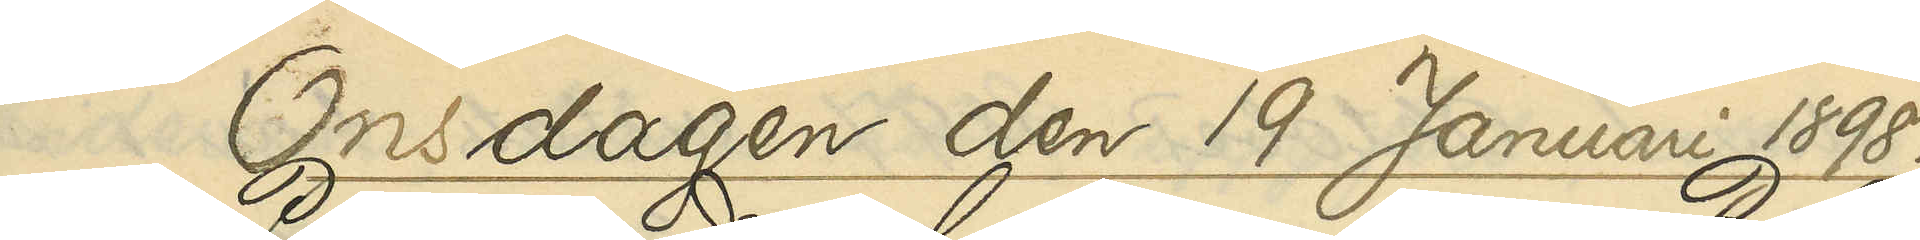Onsdagen den 19 Januari 1898.
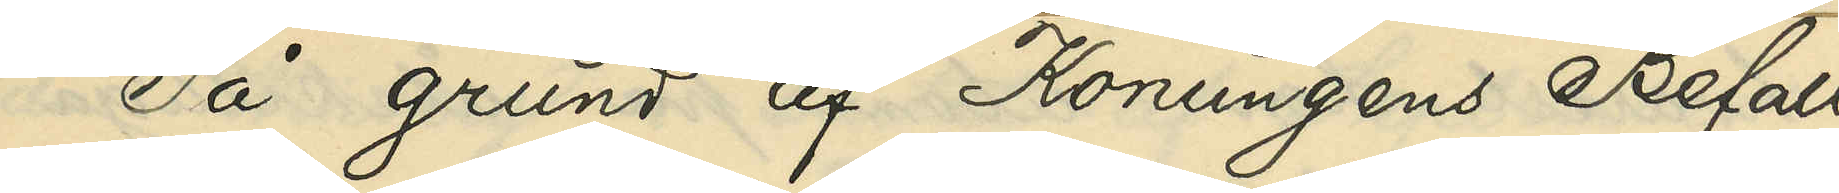På grund af Konungens Befall¬
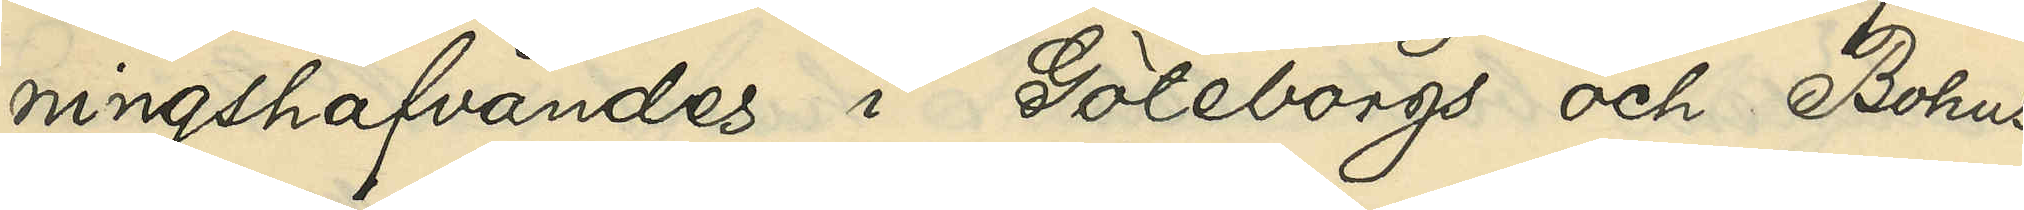ningshafvandes i Göteborgs och Bohus
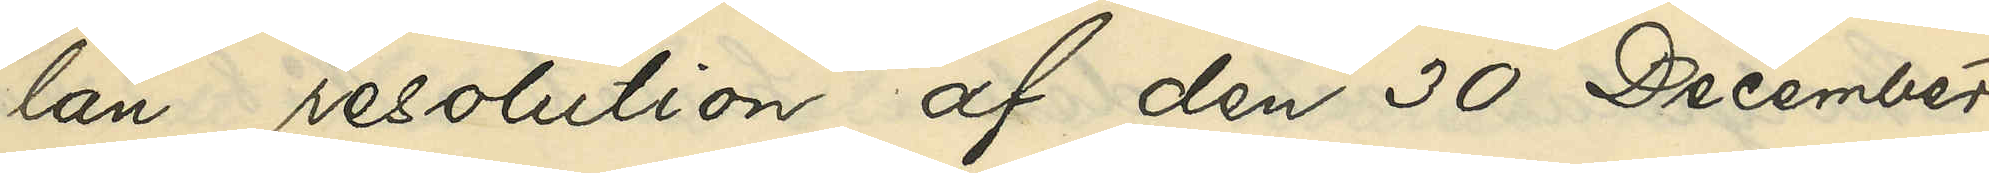län resolution af den 30 December
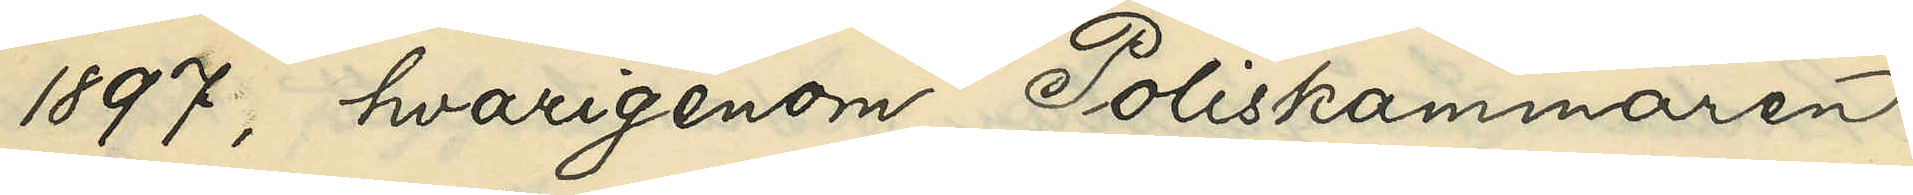1897, hvarigenom Poliskammaren
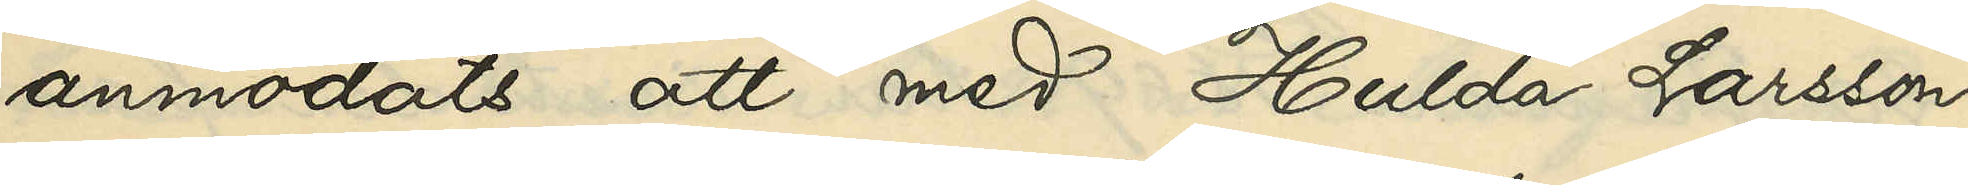anmodats att med Hulda Larsson
